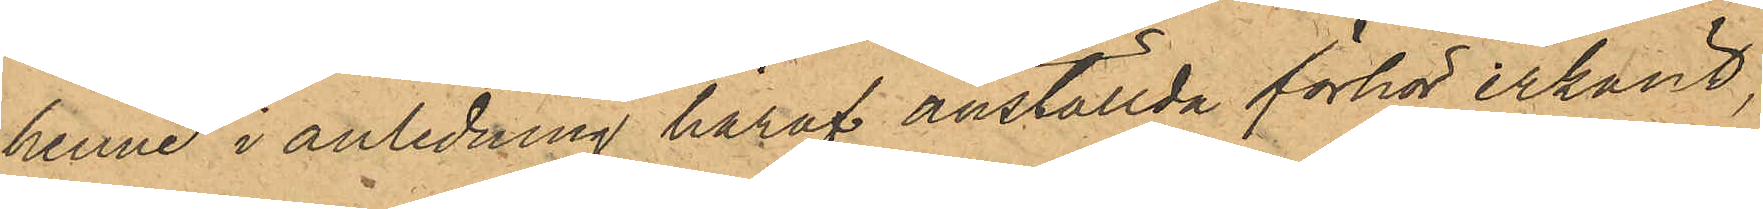henne i anledning häraf anställda förhör erkänt,
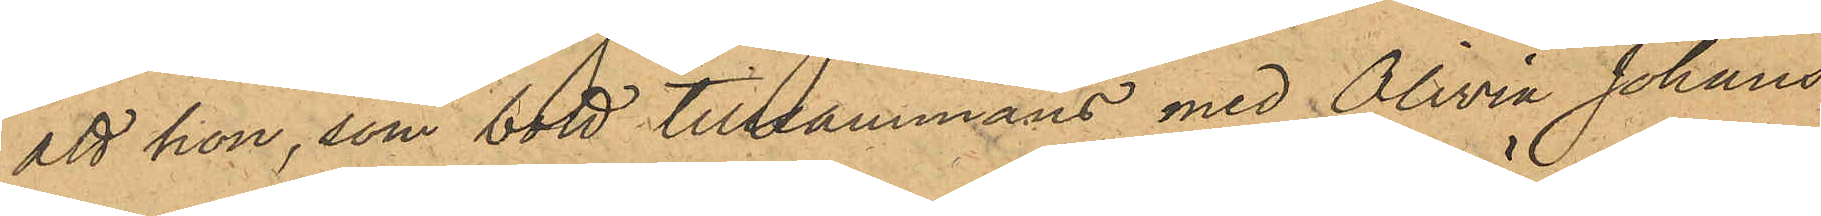att hon, som bott tillsammans med Olivia Johans¬
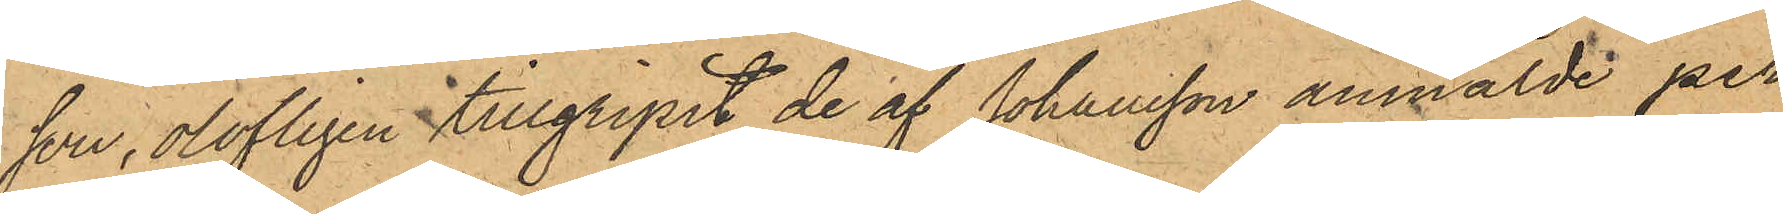son, olofligen tillgripit de af Johansson anmälde per¬
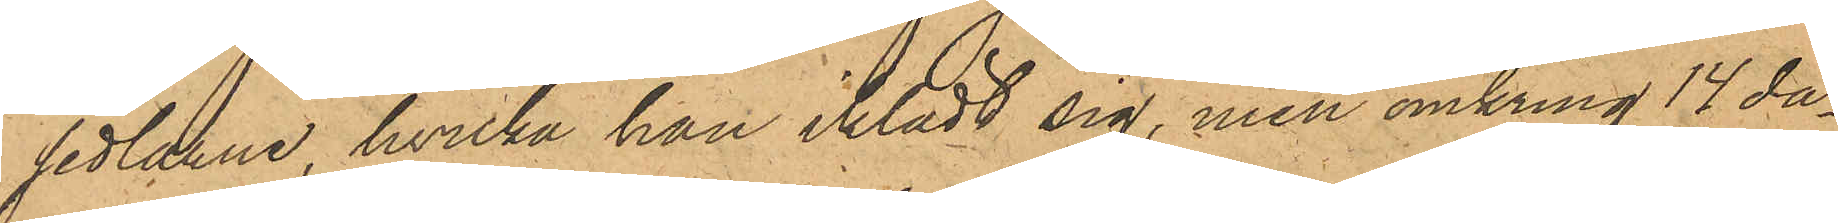sedlarne, hvilka han iklädt sig, men omkring 14 da¬
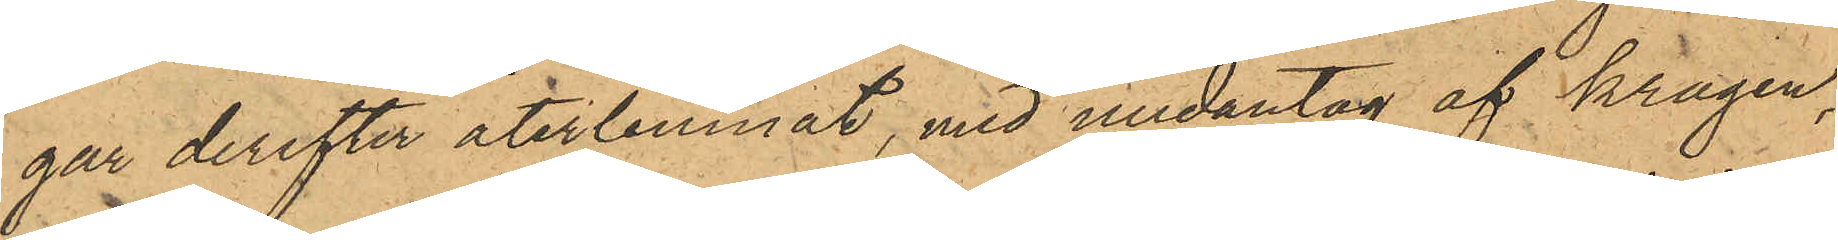gar derefter återlemnat, med undantag af kragen,
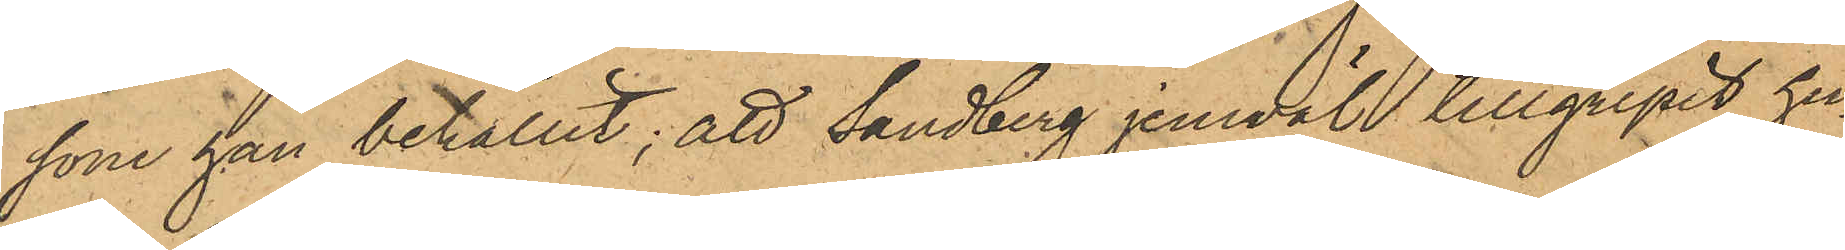som han behållit; att Sandberg jemväl tillgripit hu¬
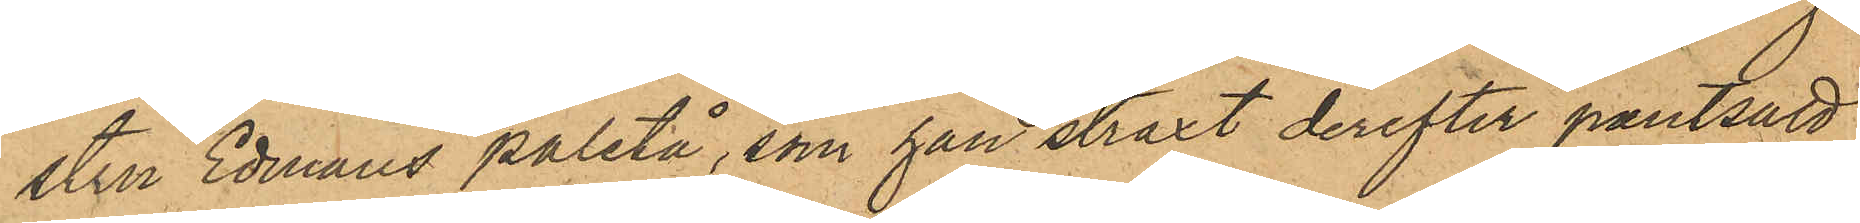stru Edmans paletå, som han straxt derefter pantsatt
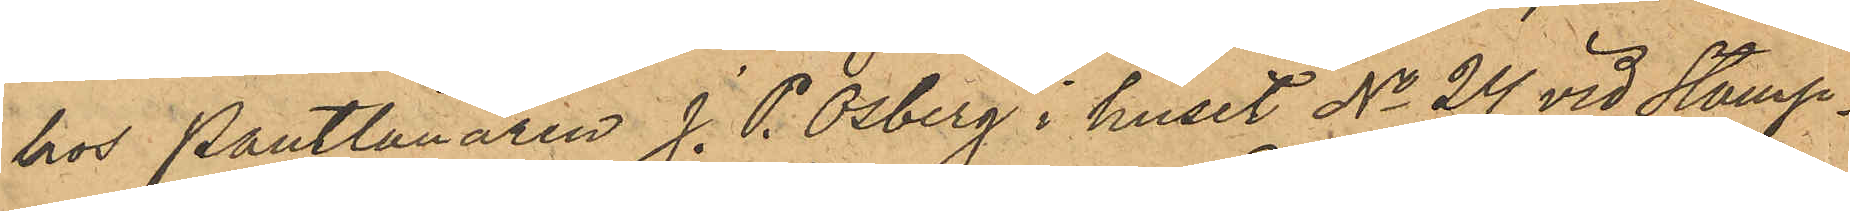hos Pantlånaren J. P. Osberg i huset No 24 vid Stamp¬
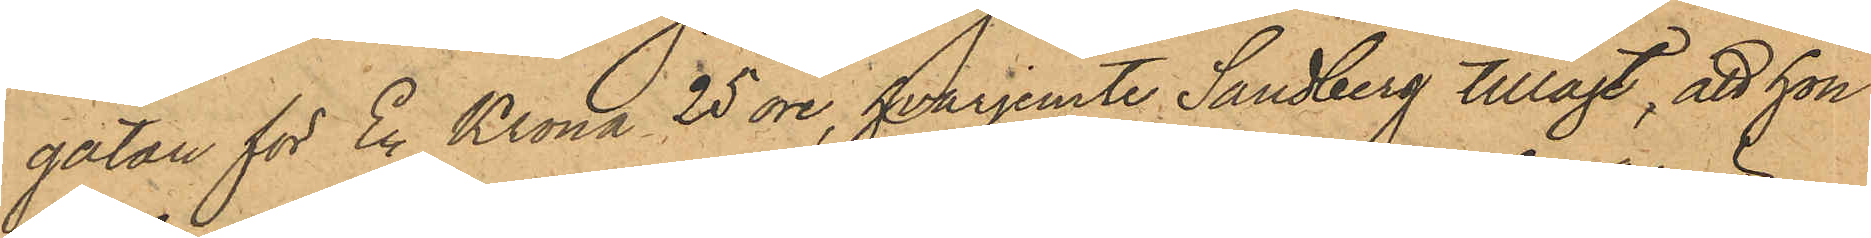gatan för En Krona 25 öre, hvarjemte Sandberg tillagt, att hon
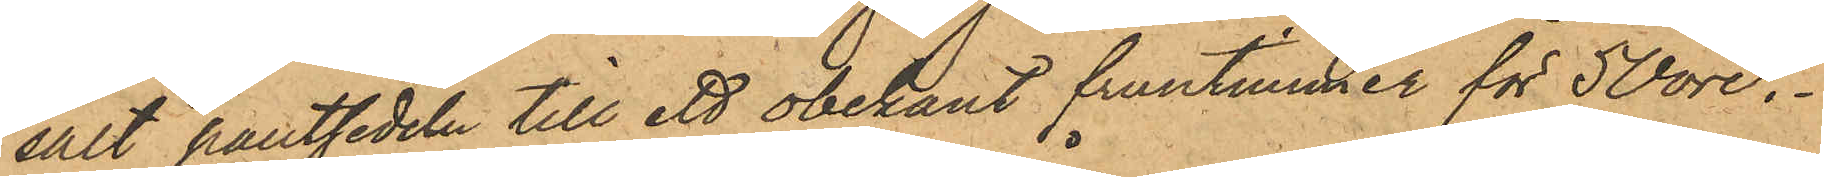sålt pantsedeln till ett obekant fruntimmer för 50 öre.
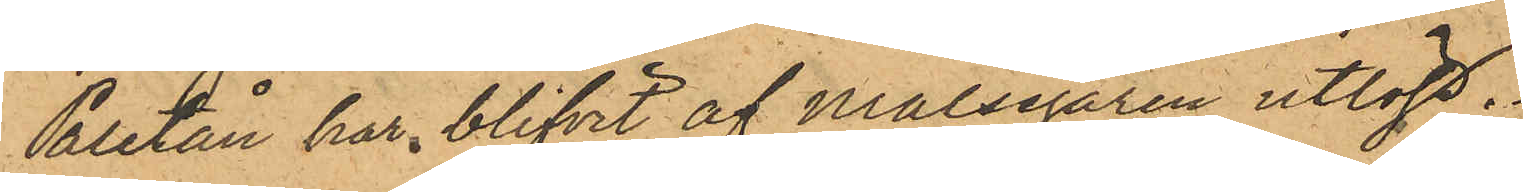Paletån har blifvit af Målsegaren utlöst.
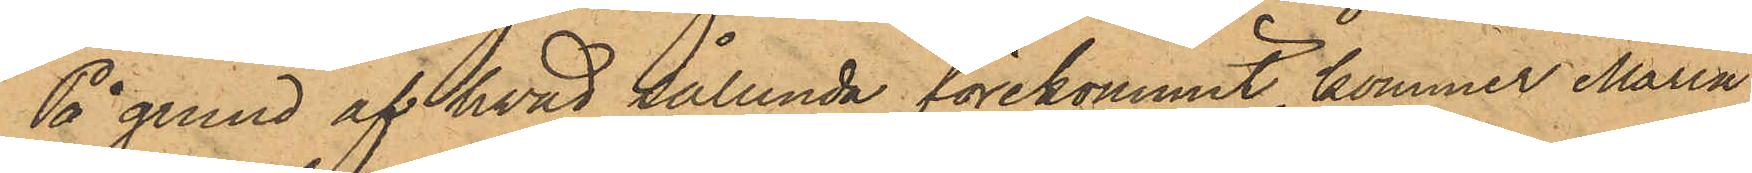På grund af hvad sålunda förekommit, kommer Maria
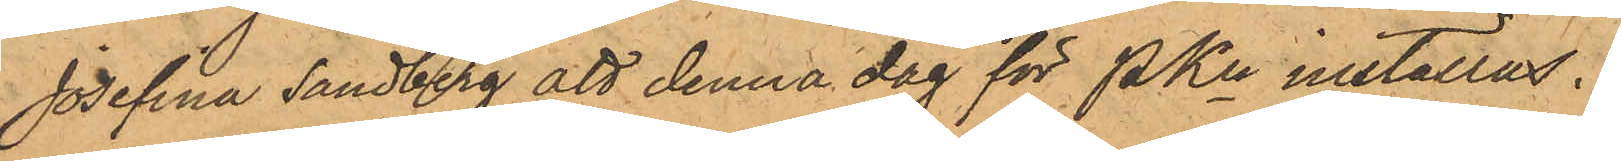Josefina Sandberg att denna dag för PKn inställas.
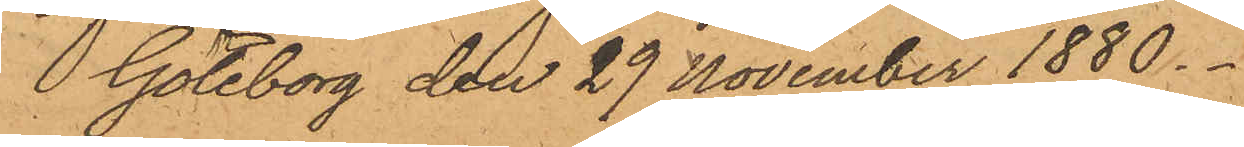Göteborg den 29 November 1880.
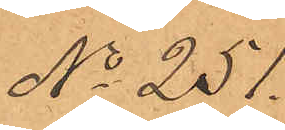No 251.
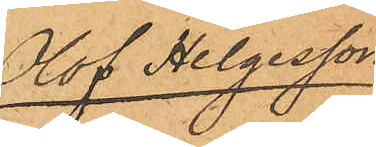Olof Helgesson.
